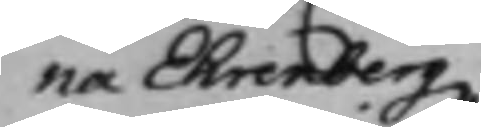na Ehrenbergz
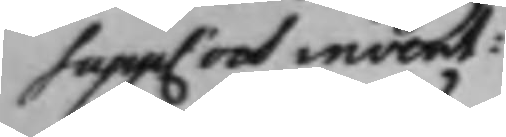Supp. och invent:
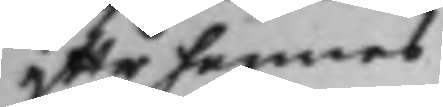efter hennes
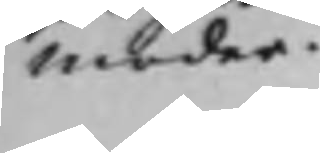moder.
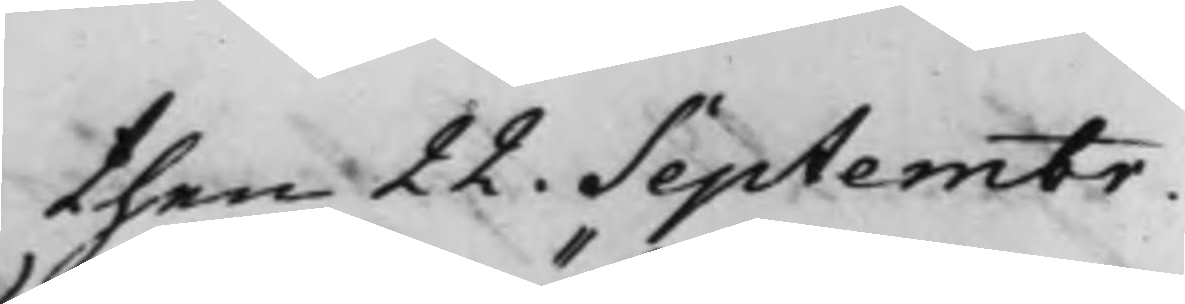then 22. Septembr.
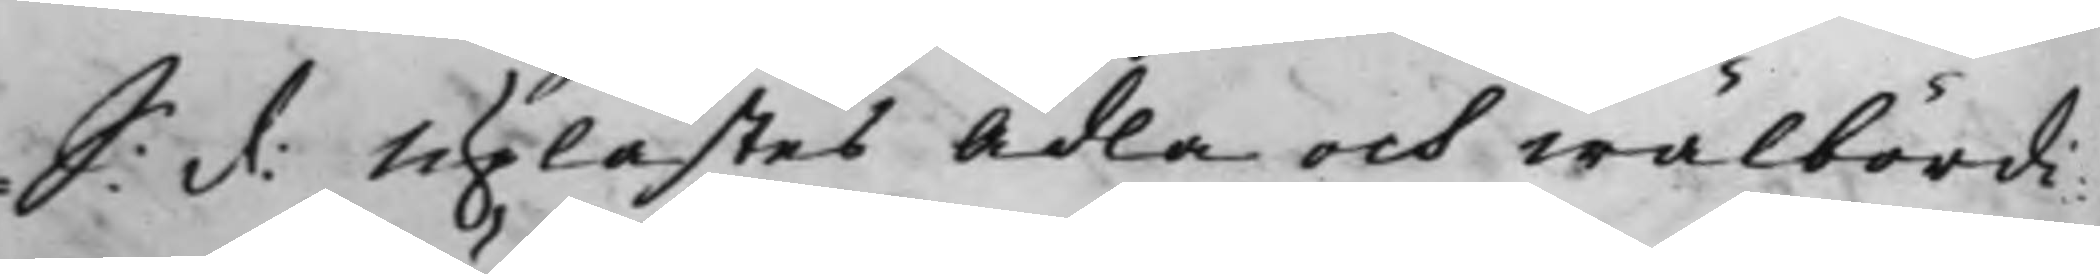S: d: Uplästes Ädla och wälbördi¬
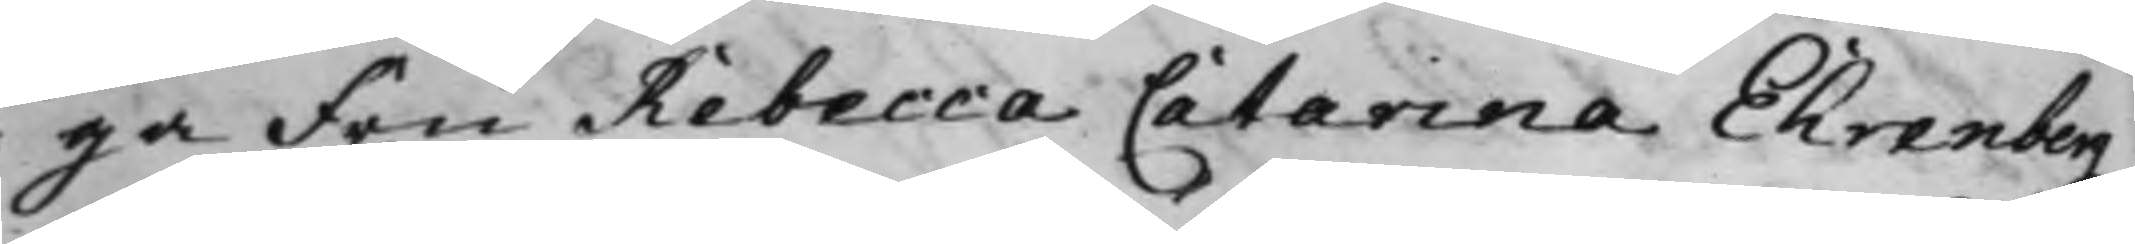ga Fru Rebecca Catarina Ehrenbergz
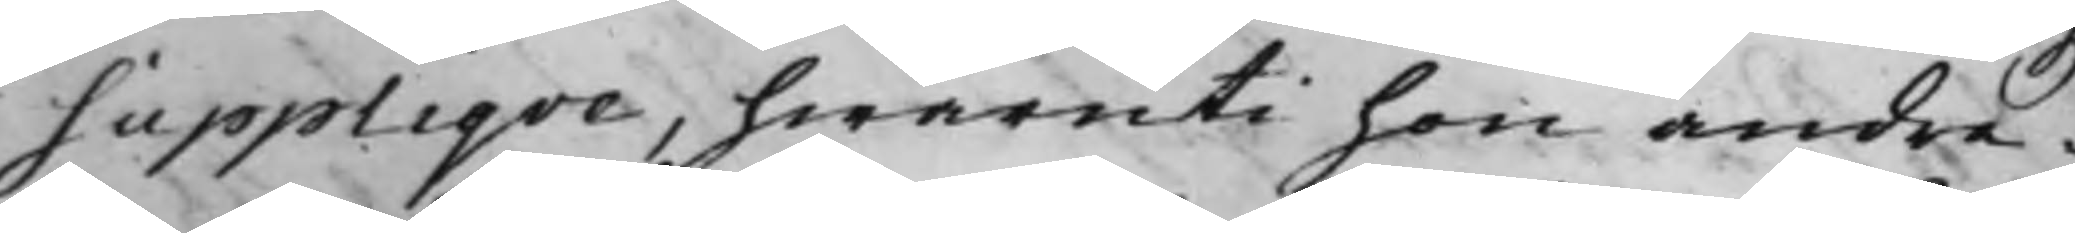Suppliqve, hwaruti hon andra¬
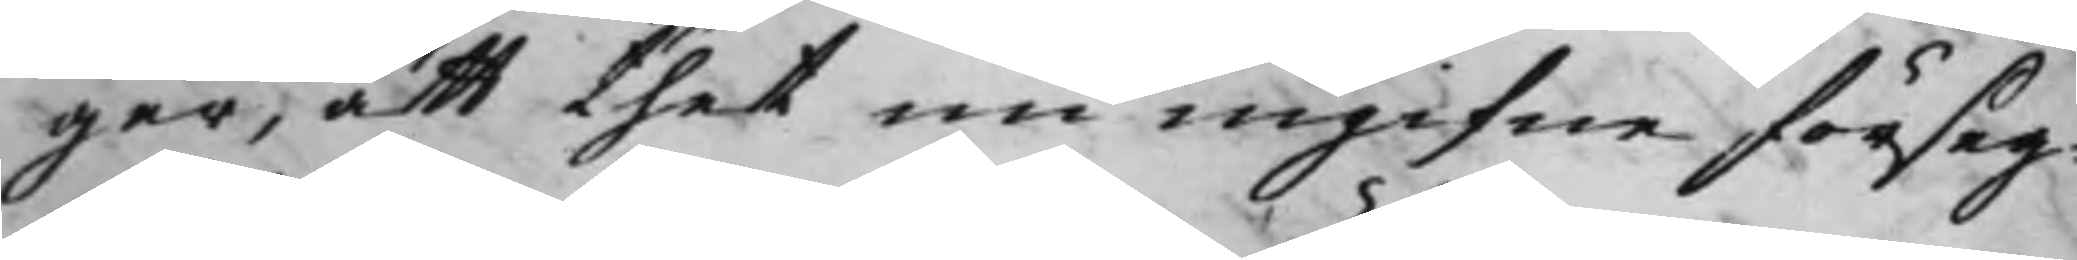ger, att thet nu ingifne förseg¬
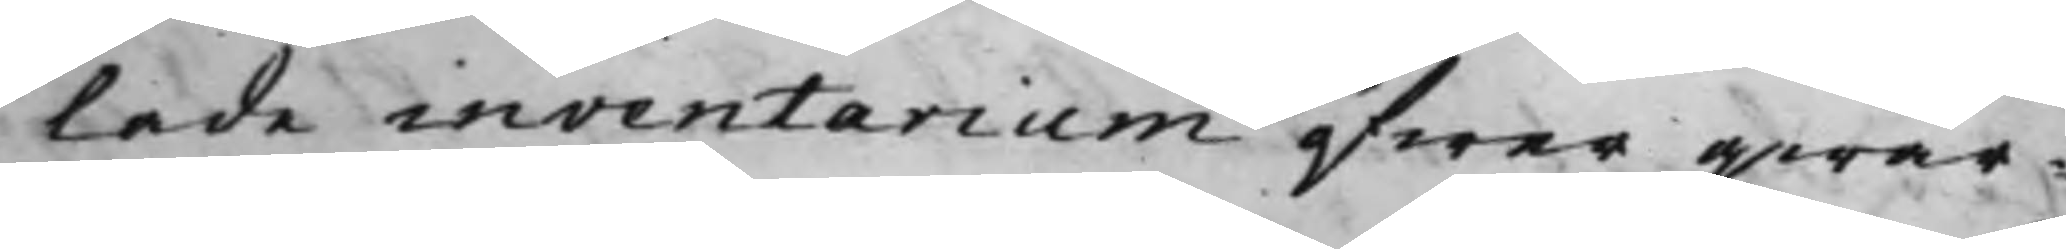lade inventarium öfwer qwar¬
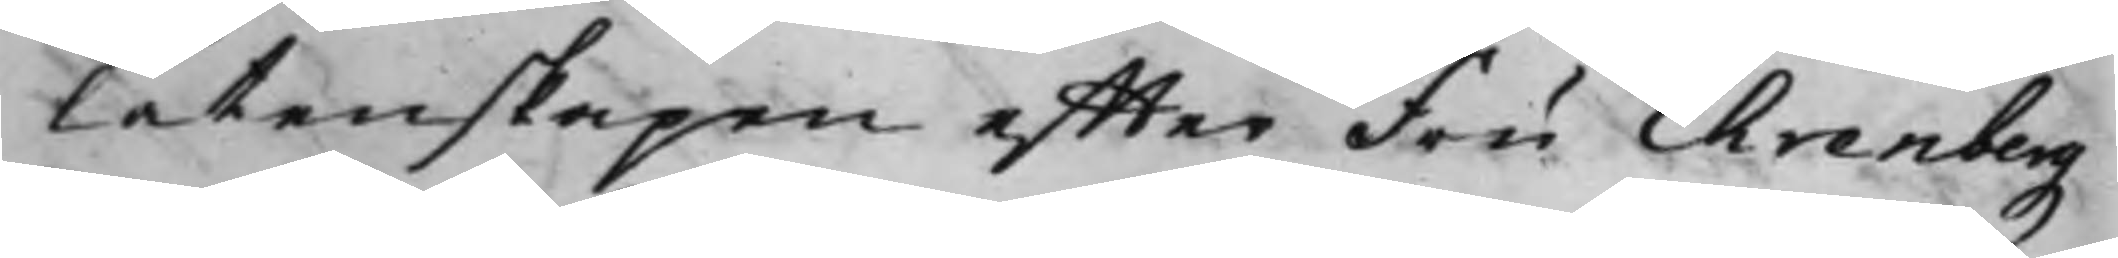låtenskapen effter Fru Ehrenbergz
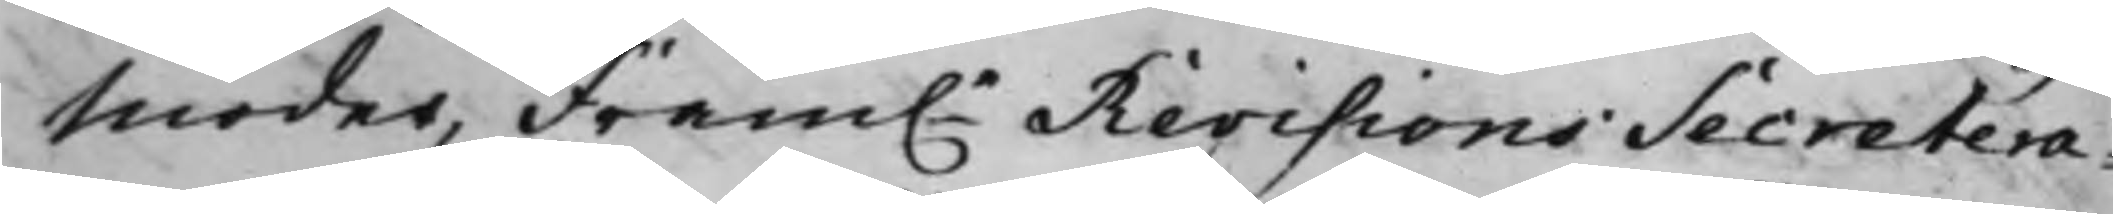moder, fram.e Revisions Secretera¬
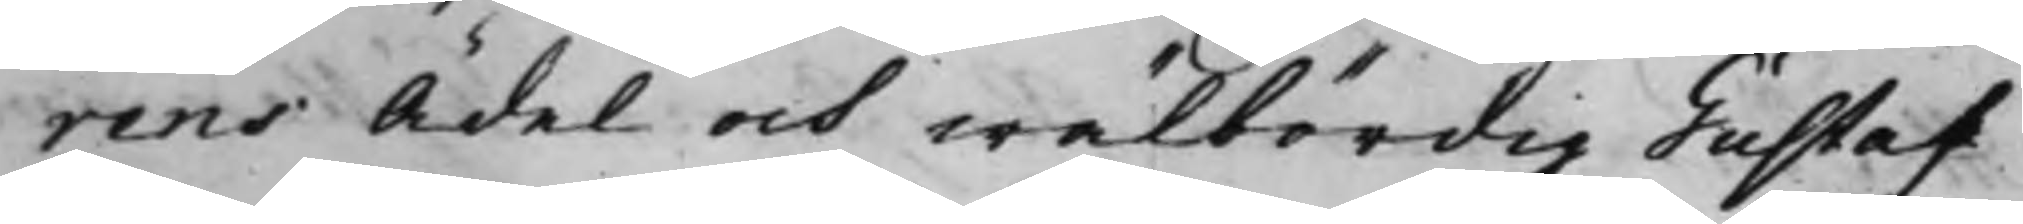rens Ädel och wälbördig Gustaf
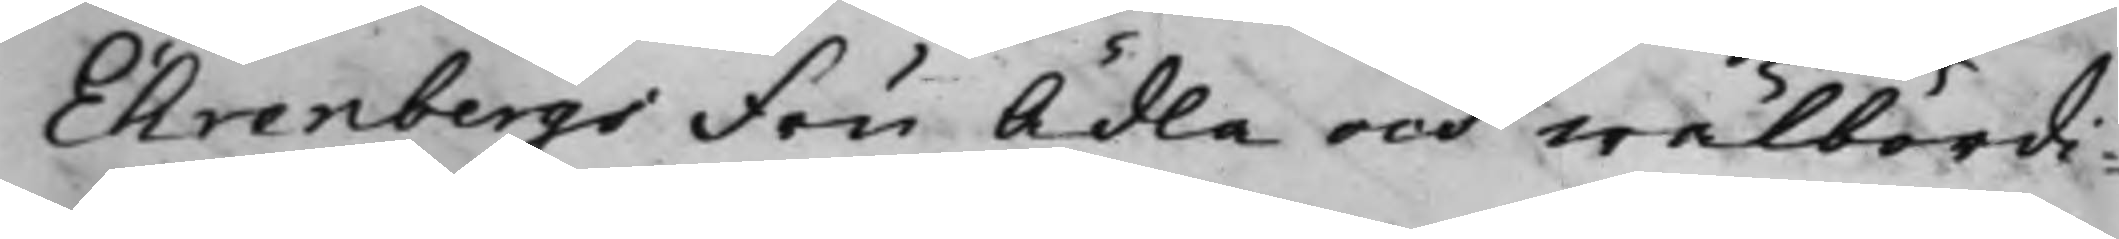Ehrenbergs Fru Ädla och wälbördi¬
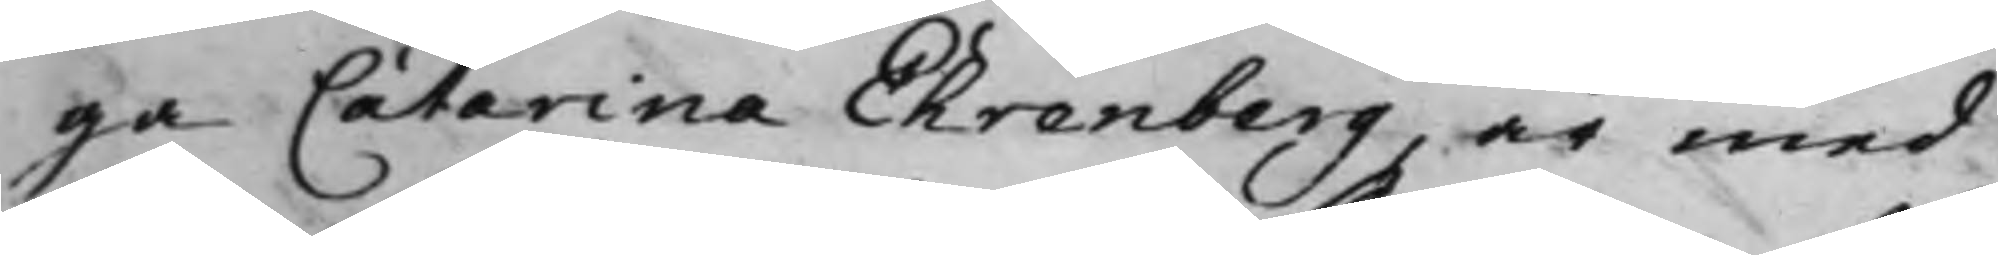ga Catarina Ehrenberg, är med
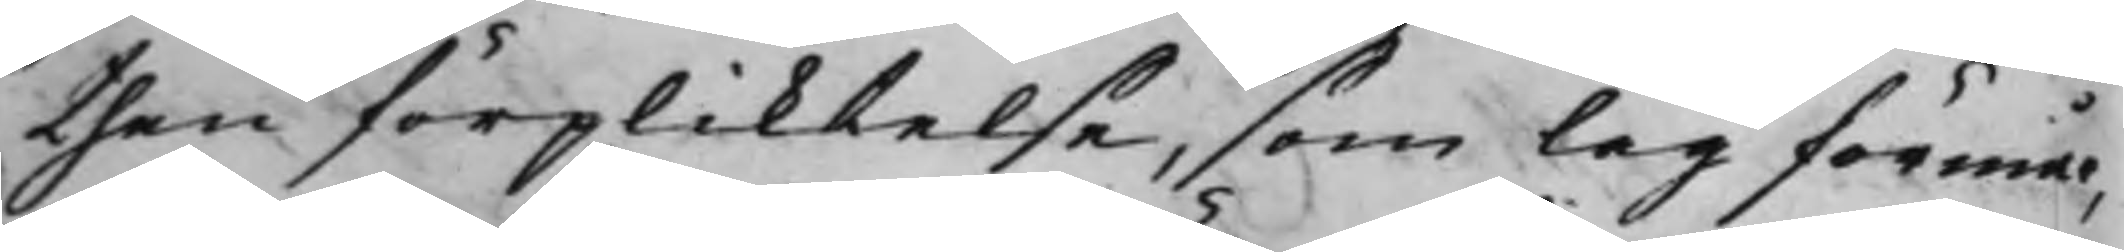then förpliktelse, som lag förmår,
